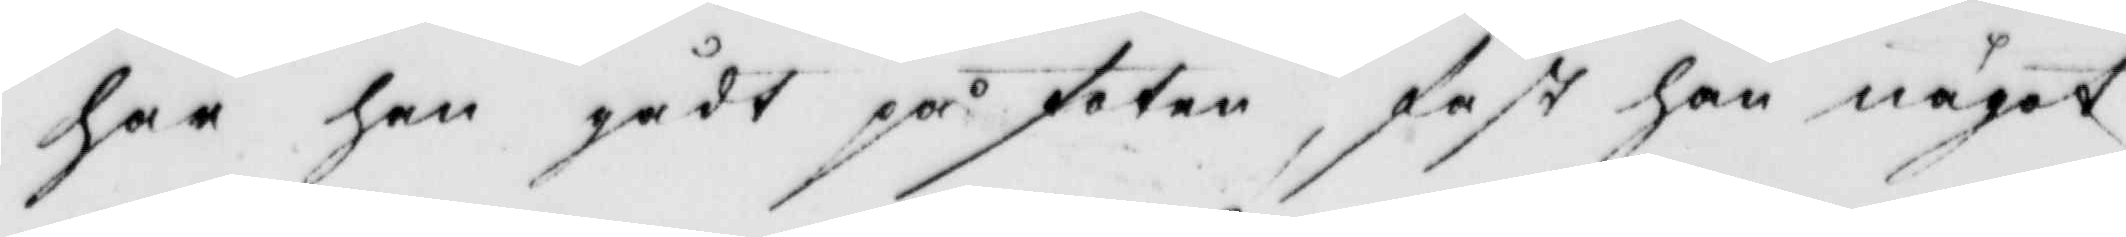har han gådt på foten, fast han något
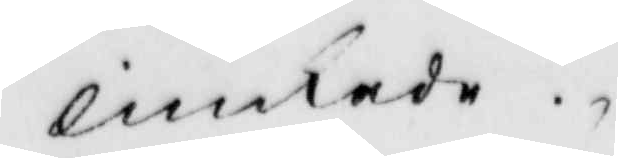linkade.
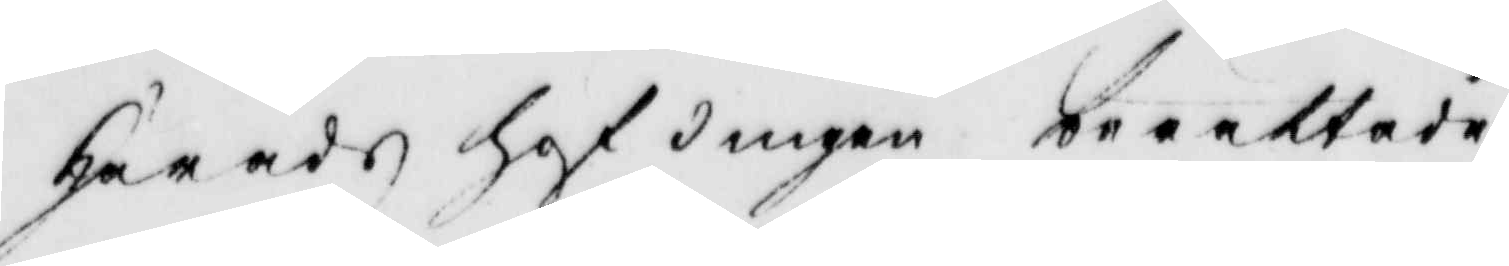häradshöfdingen berättade
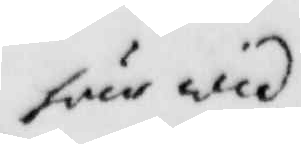här wid
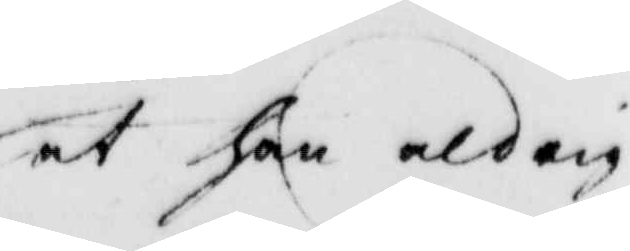at han aldrig
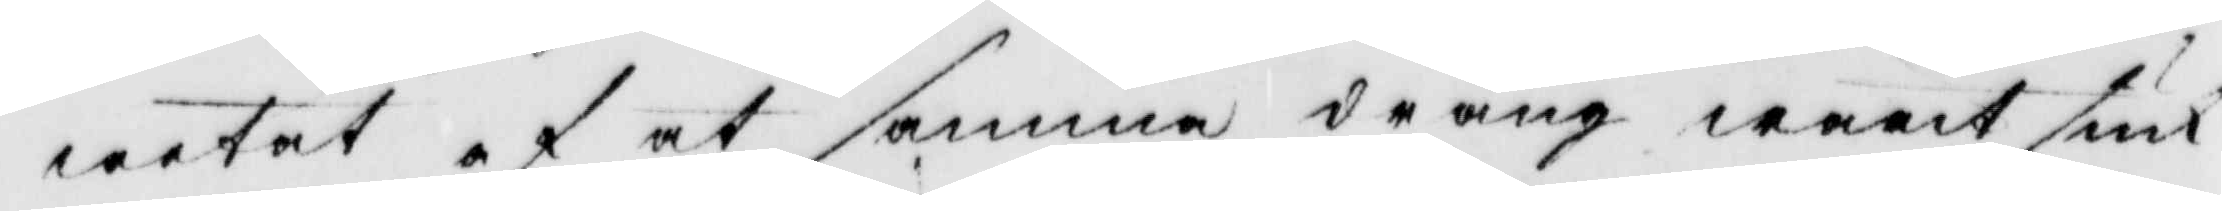wetat af at samma dräng warit siuk
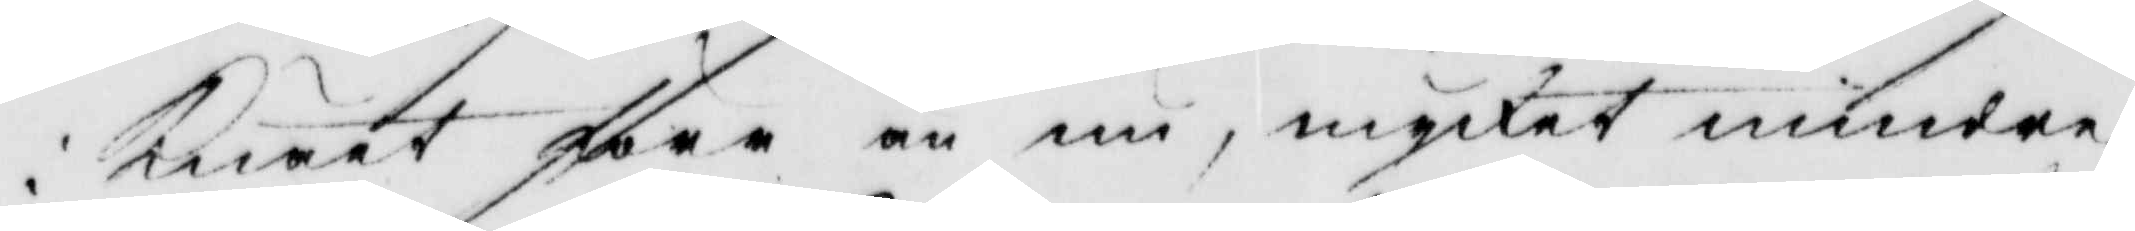i knäet före än nu, mycket mindre
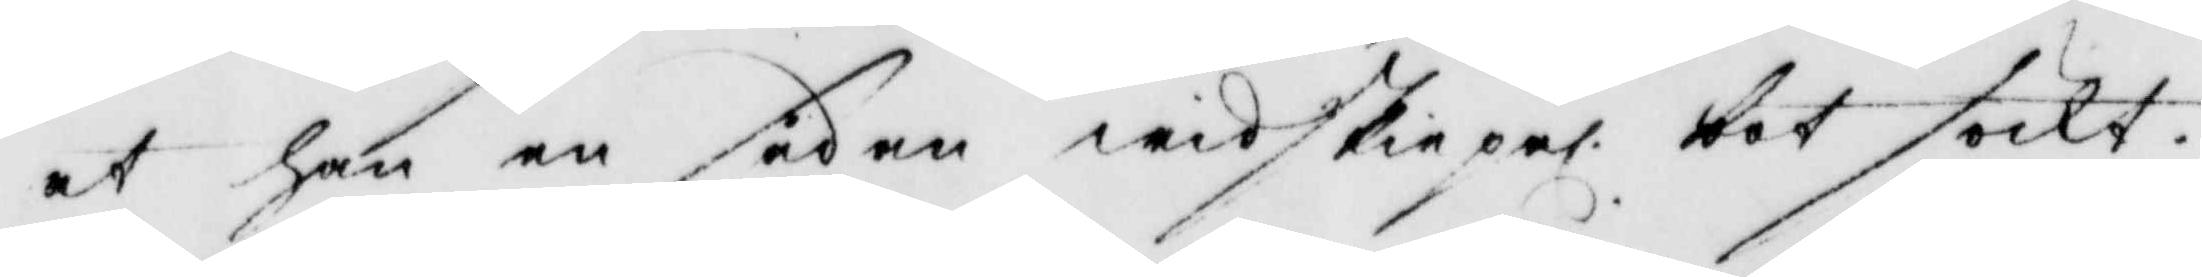at han en sådan widskiepel: bot söckt.
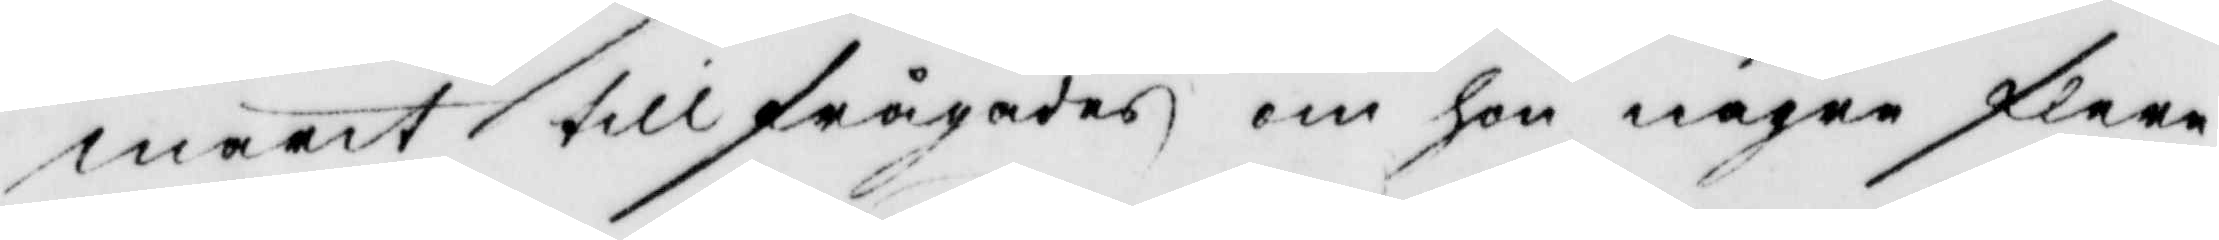marit tillfrågades om hon någre flere
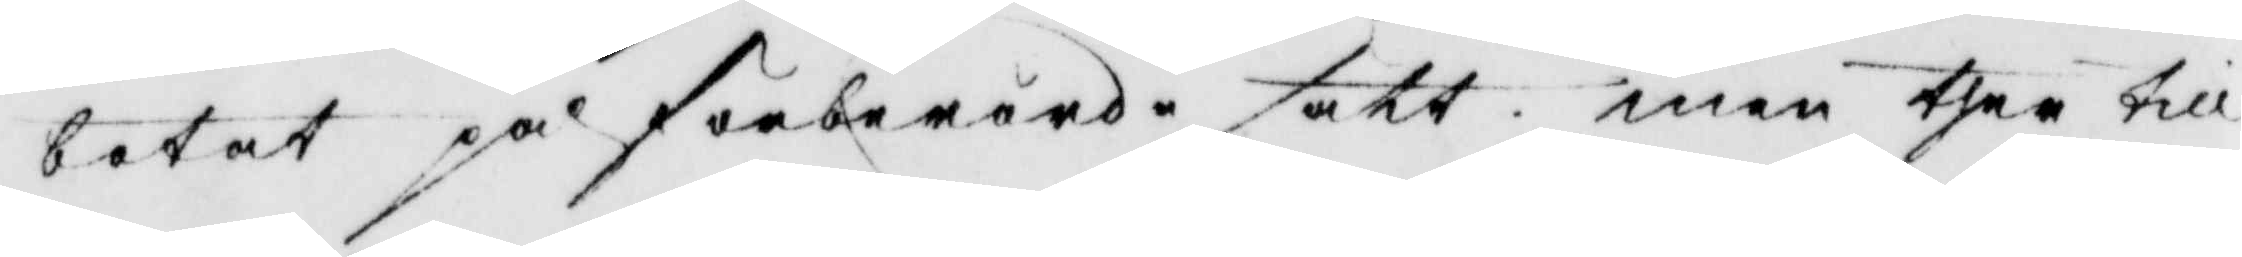botat på förberörde sätt men ther till
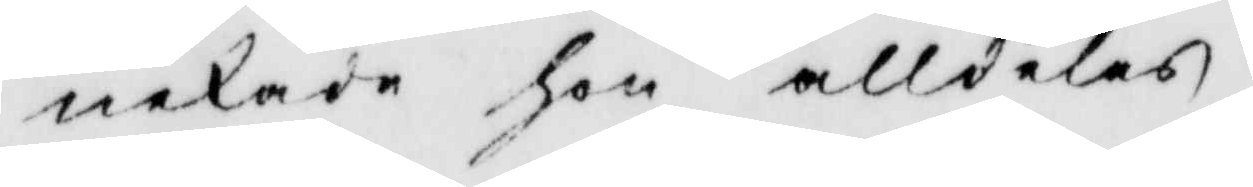nekade hon alldeles.
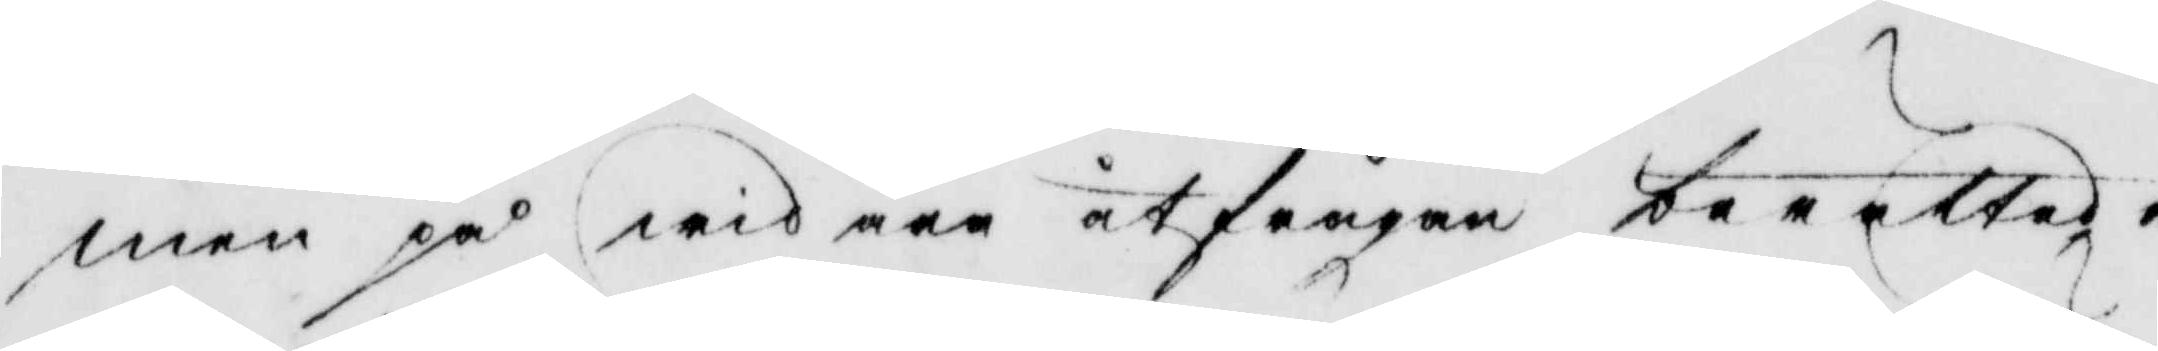men på widare utfrågan berättade
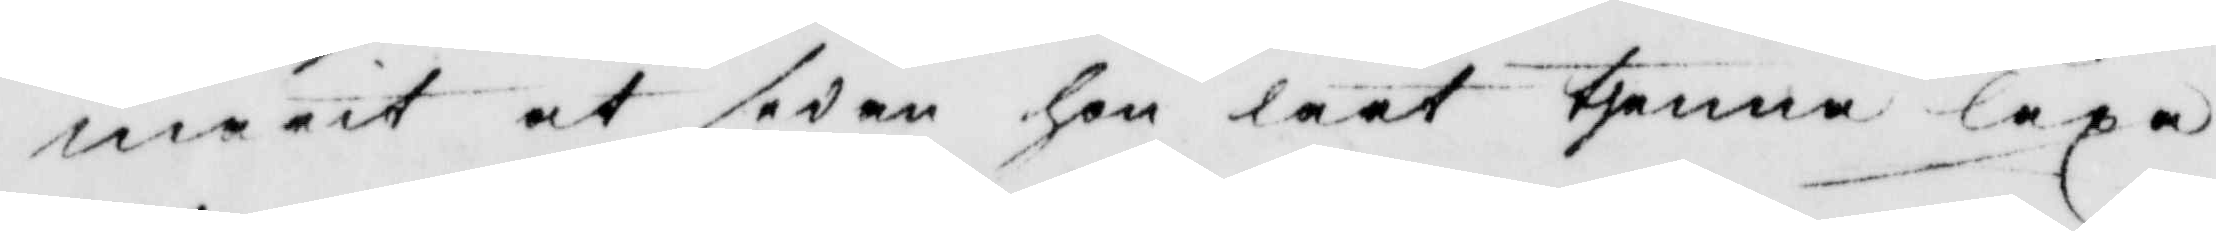marit at sedan hon lärt thenna läxa
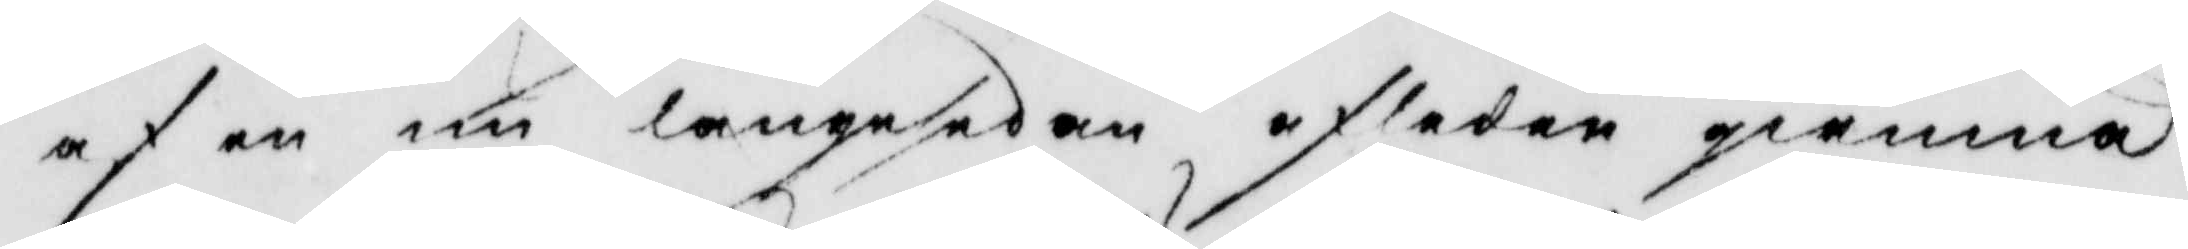af en nu längesedan afleden qwinna
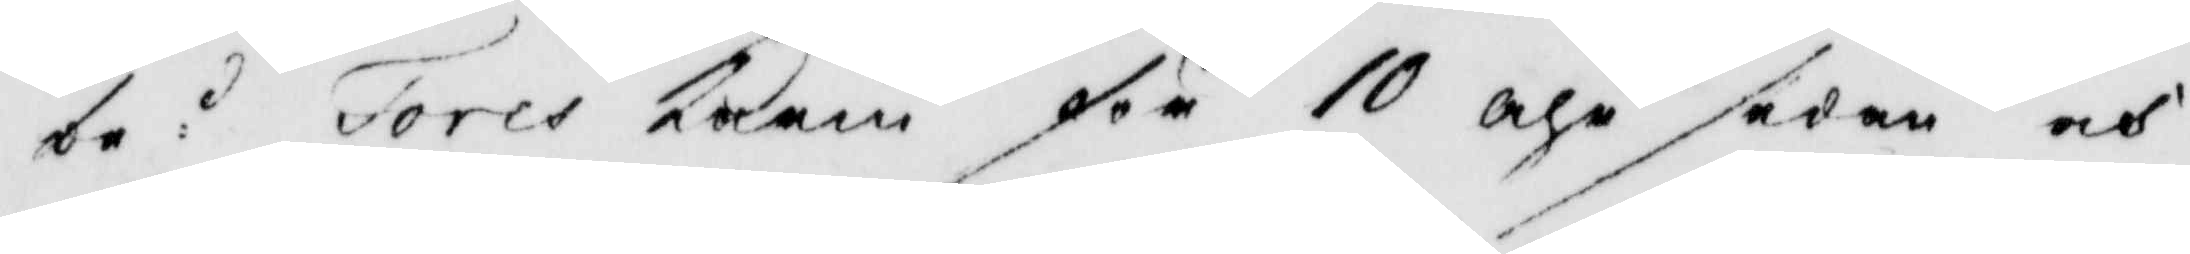be:d Tores Karin för 10 åhr sedan och
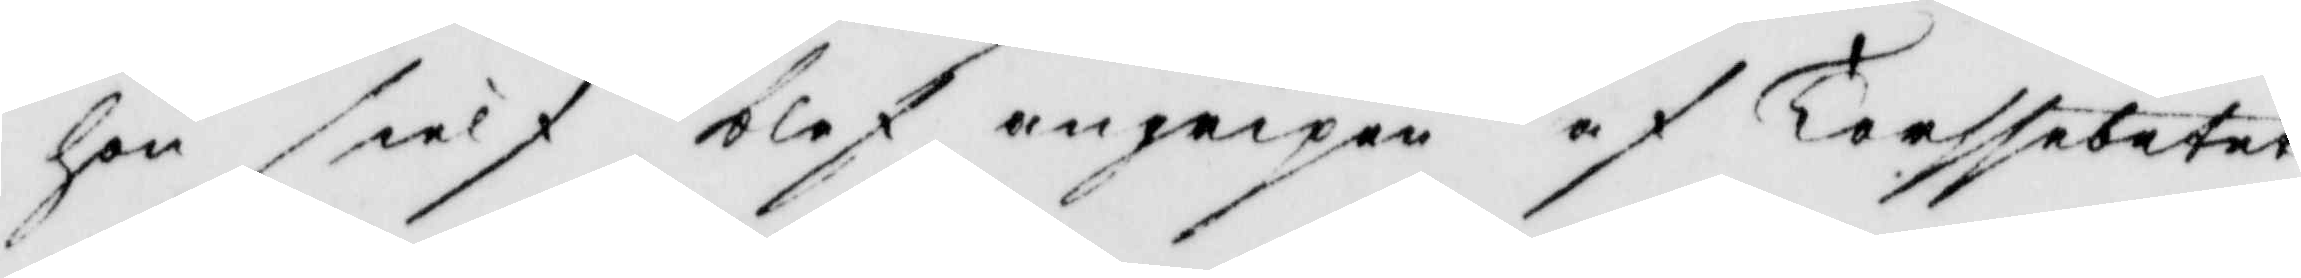hon sielf blef angripen af Torssebetet
